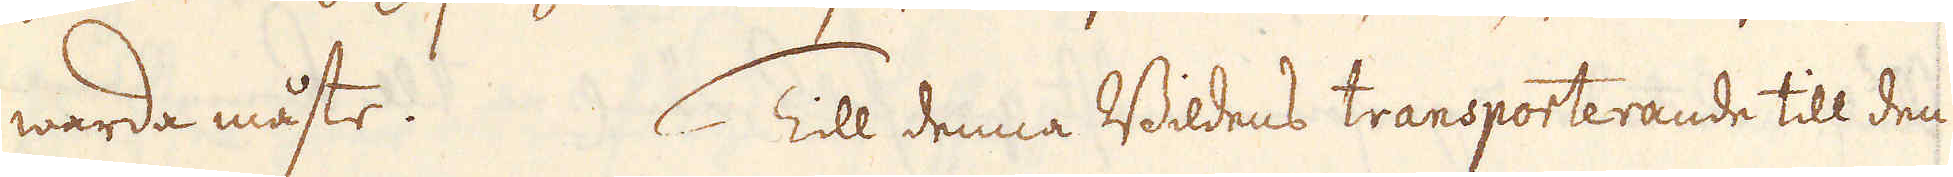warda måste. Till denna Bildens transporterande till den
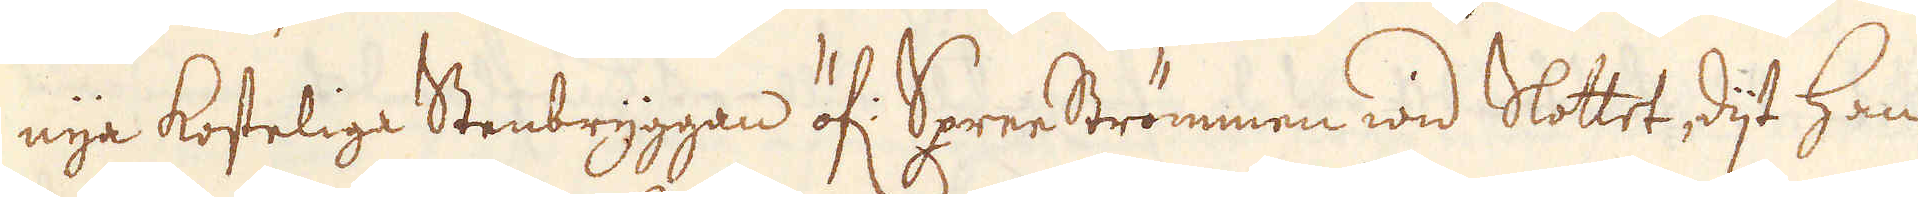nya kosteliga Stenbryggan öf: SpreeStrömmen wid slottet, dijt han
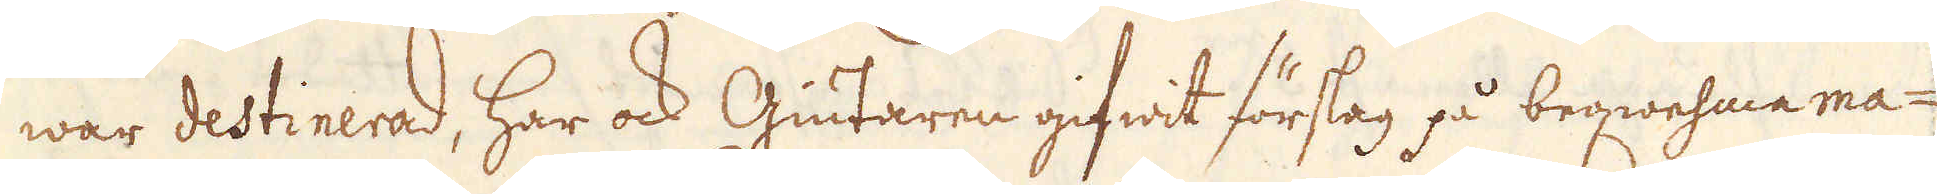war destinerad, har ock Giutaren gifwit förslag å beqwehma ma-
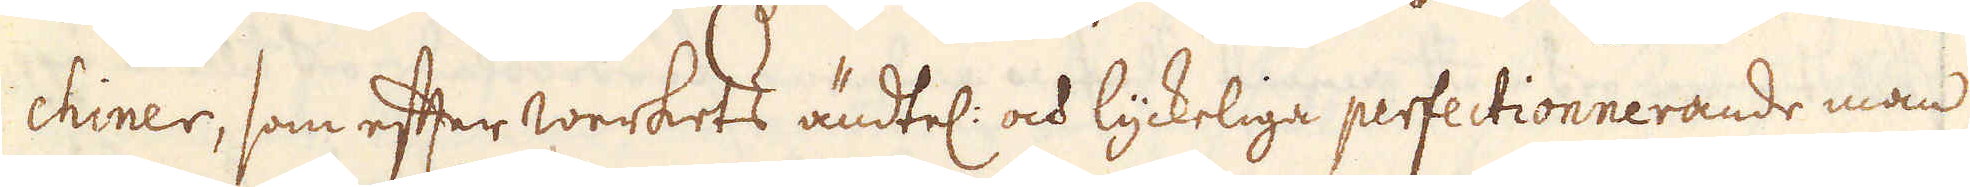chiner, om efter werkets ändtel: och lyckelige perfectionnerande man
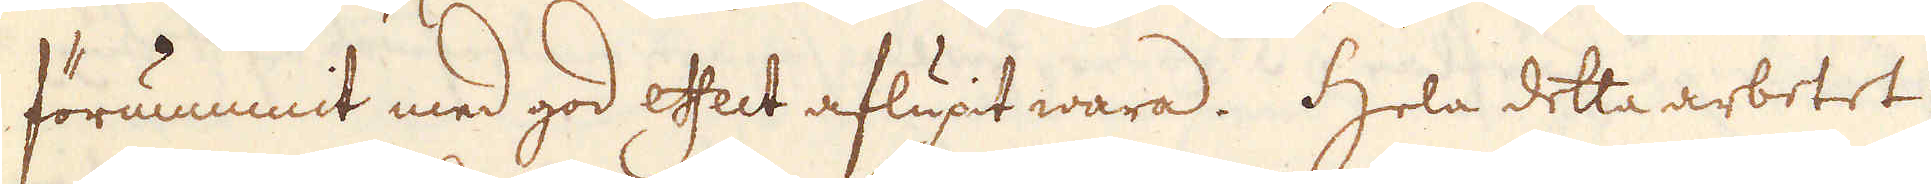förnummit med god effect aflupt wara. Hela detta arbetet
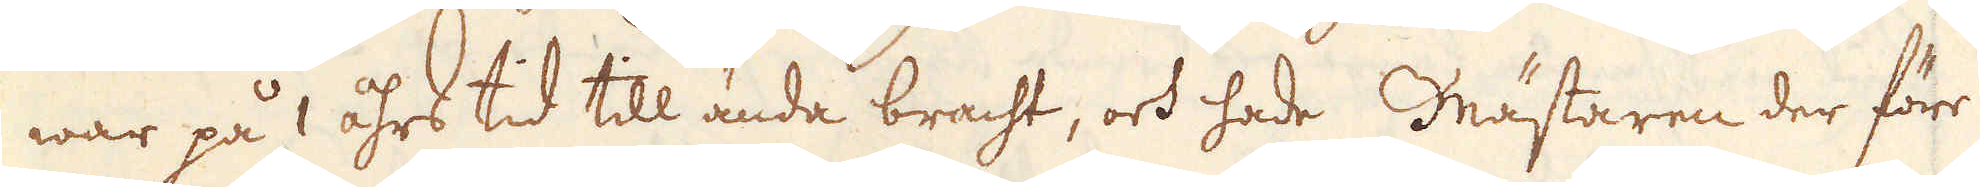war på1 åhrs tid till ända bracht, och hade Mästaren der för
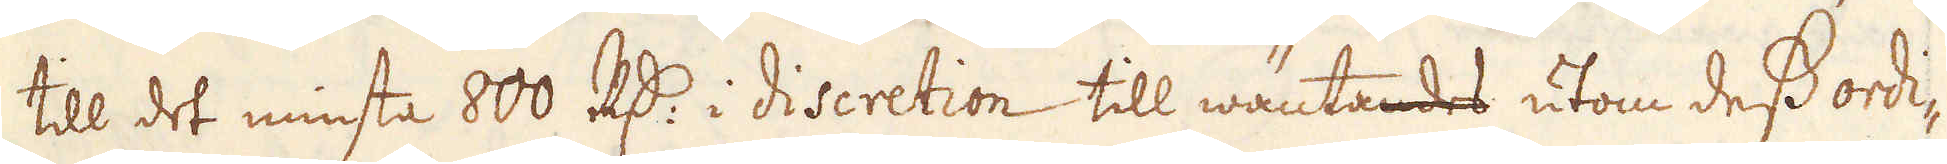till det minsta 800 R:dr i discretion till wäntandes utom dess ordi-
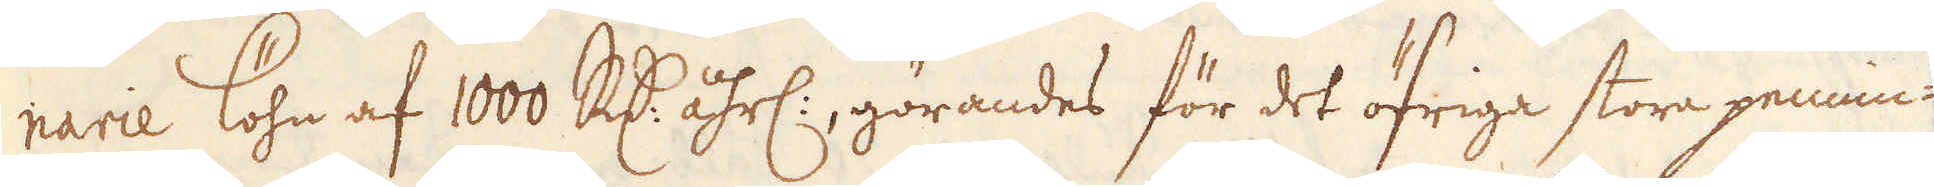narie löhn af 1000 R:dr åhrl:, görandes för det öfriga stora pennin-
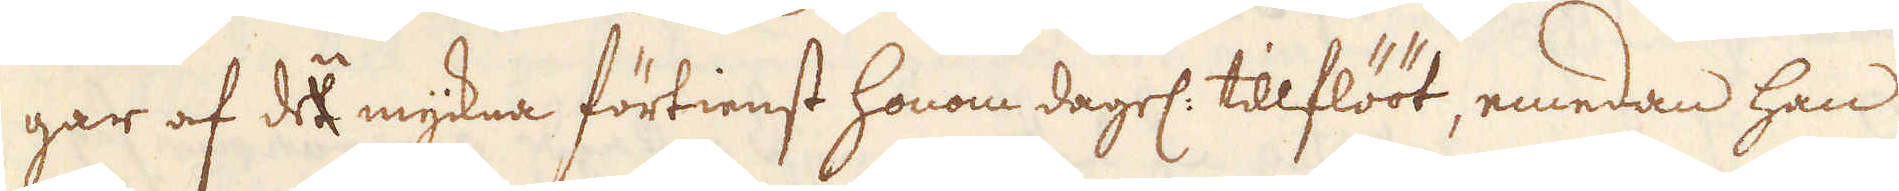gar af de myckna förtienst honom dagel. tilflööt, emedan han
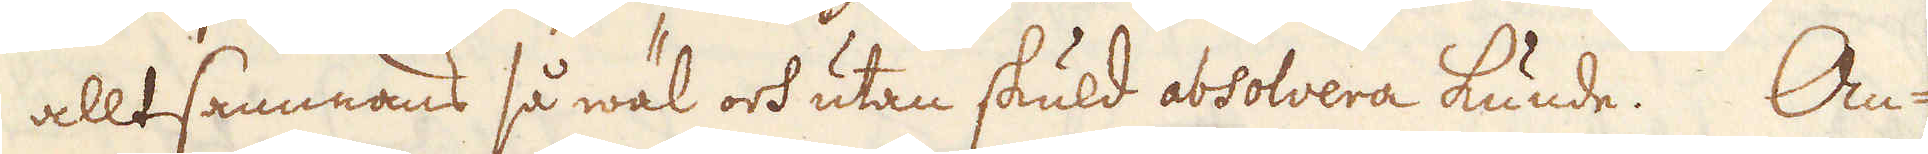alltsammans så wäl och utan skuld absolvera kunde. Om
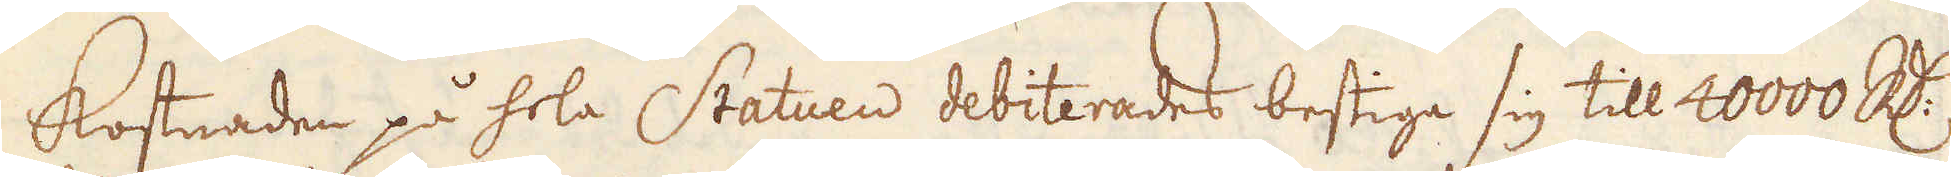kostnaden på hela Statuen debiterades bestige sig till 40000 R:dr
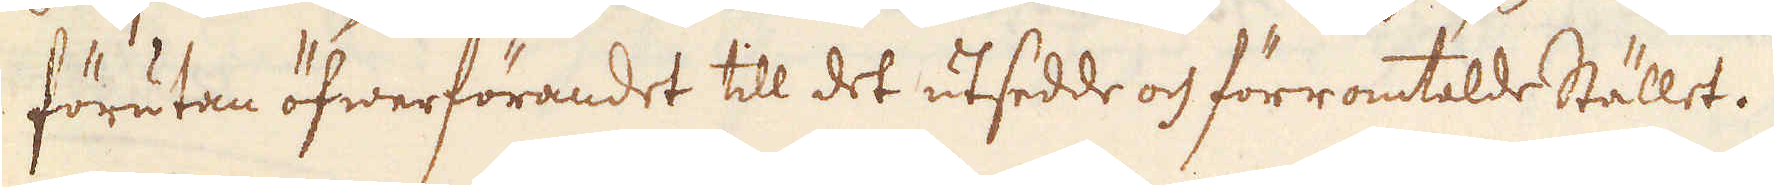förutan öfwerförandet til det utsedde och förromtalde Stället.
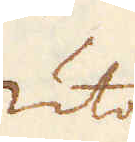Utom
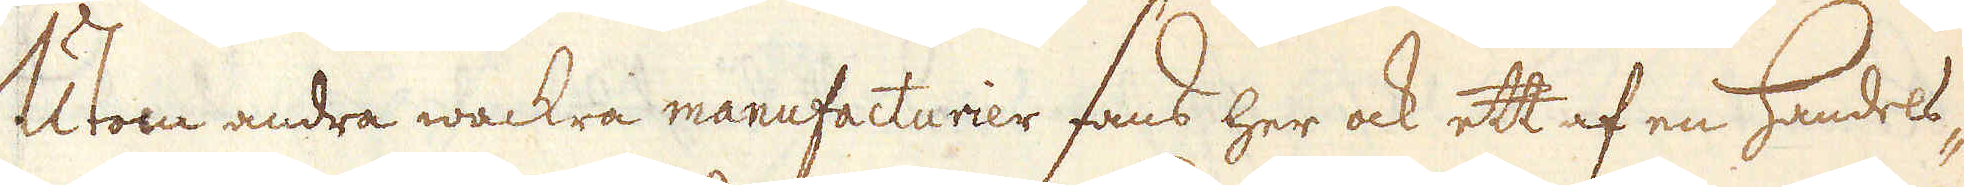Utom andra wackra manufacturier fans her ock ett af en handels-,
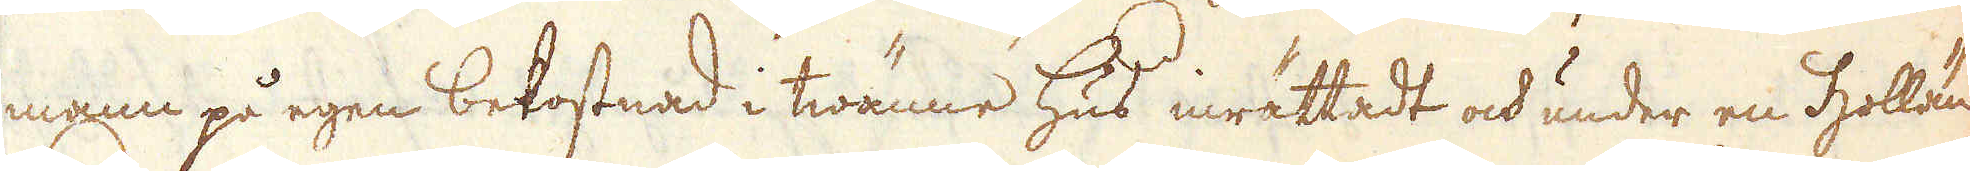man på egen bekostnad i twänne hus inrättadt och under en Hollän-
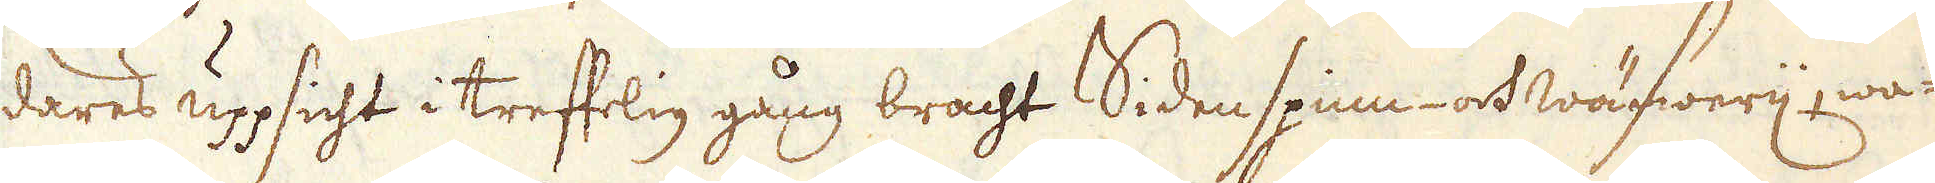dares upsigt i treffelig gång bracht Sidenspinn- och wäfwerij, wa-
